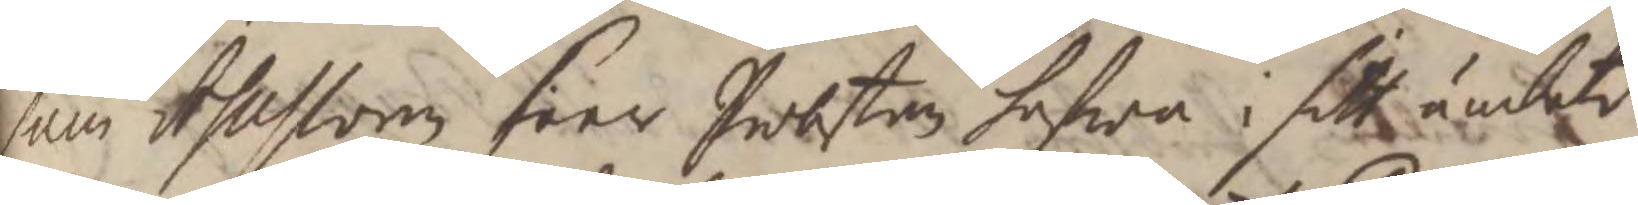som Assessoren seer Probsten hafwa i sitt ämbete
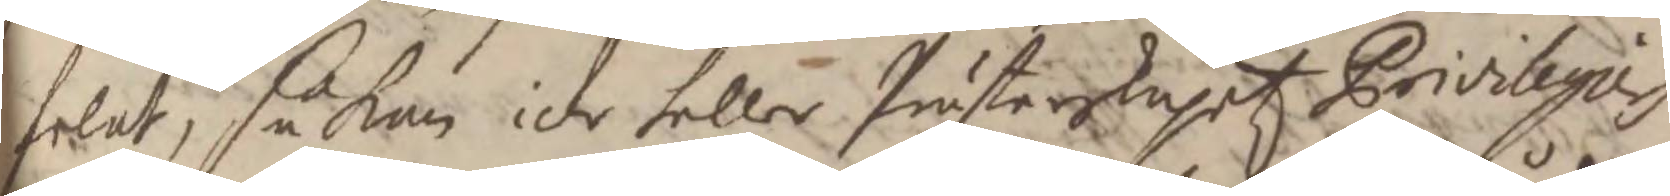felat, så kan icke heller Prästerskapetz Privilegier
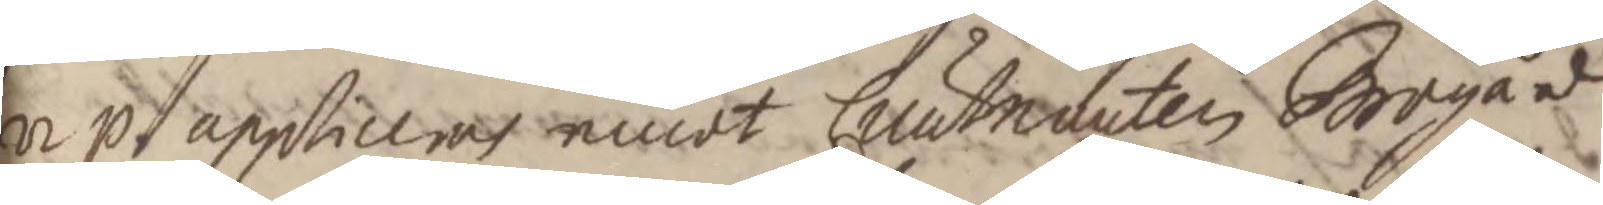up appliceras emot Lieutnanten Brogård
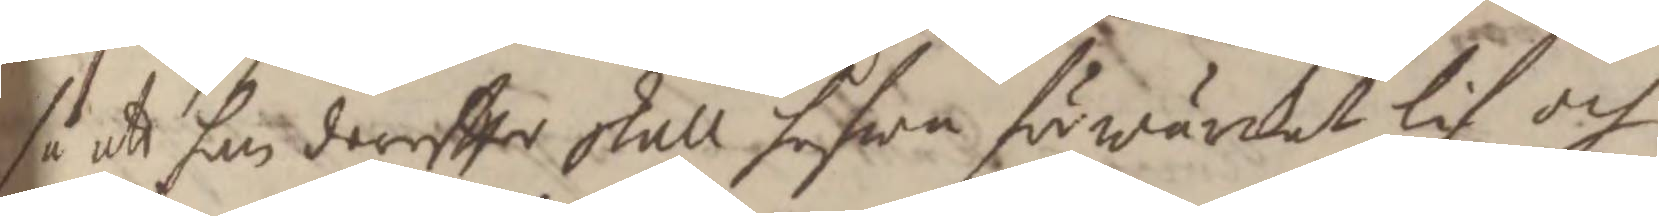så att han dereffter skall hafwa förwärckat lif och
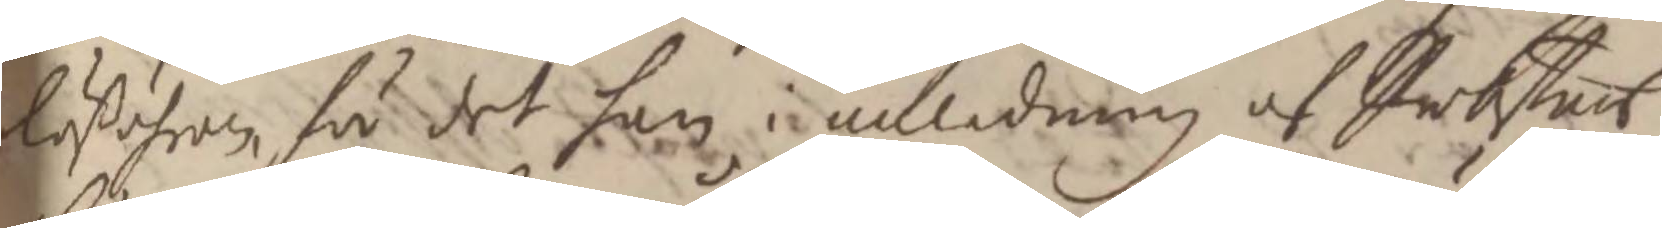lößöhren, för det han i anledning av Probstens
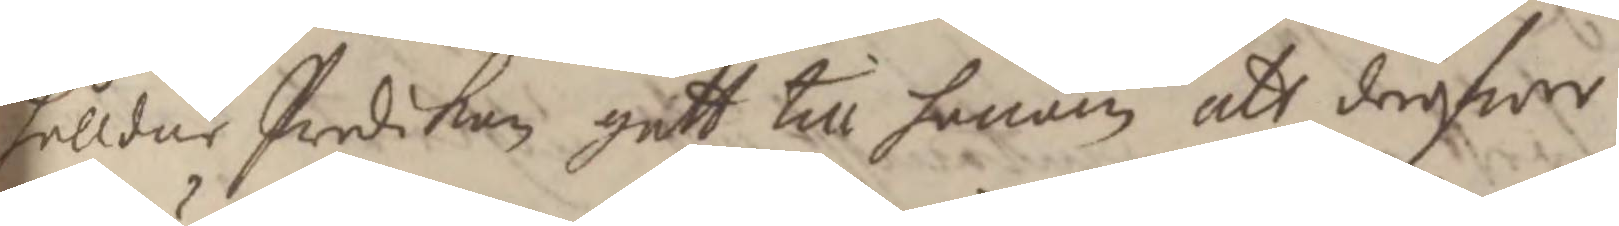hålldne Predikan gått till honom att deröfwer
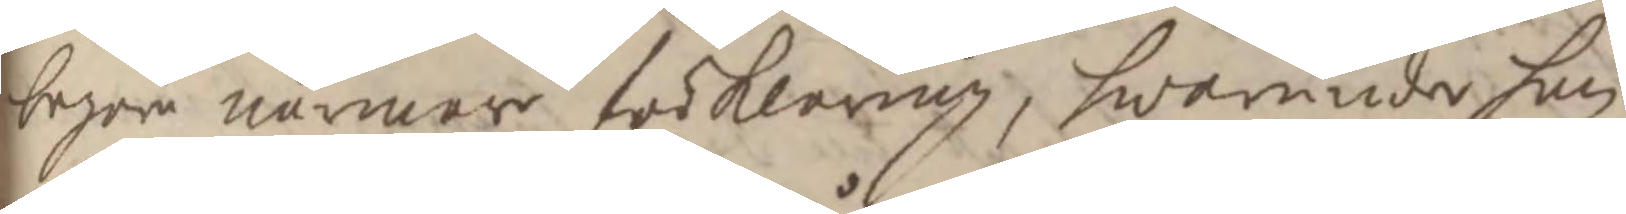begära närmare förklaring, hwarunder han
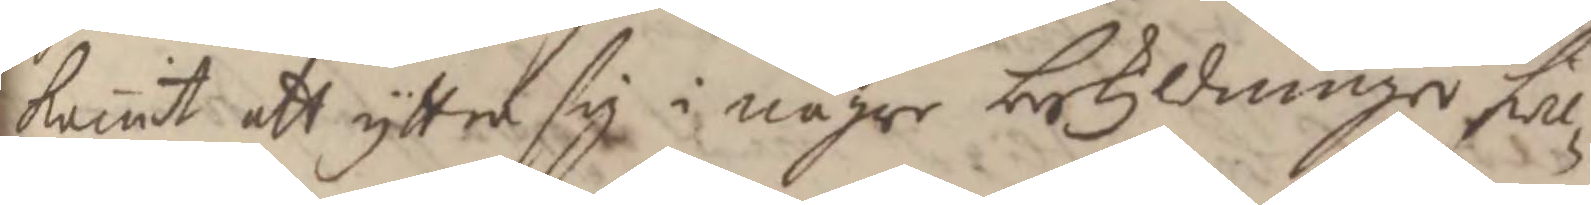kommit att yttra sig i någre beskyldninger hwil¬
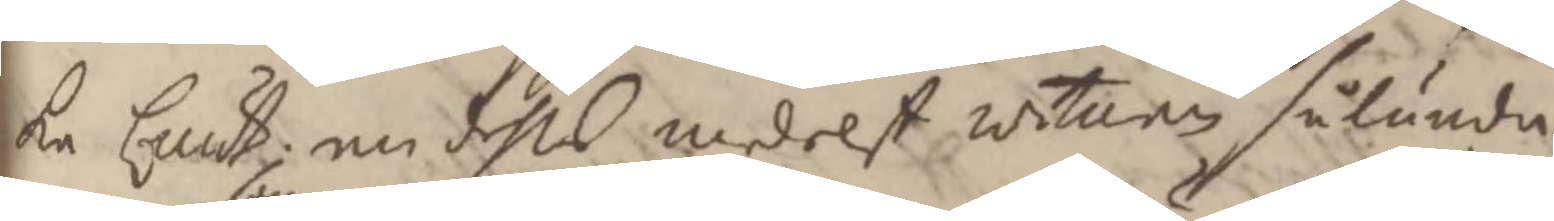ka Lieut. nu dehls medelst witnen sålunda
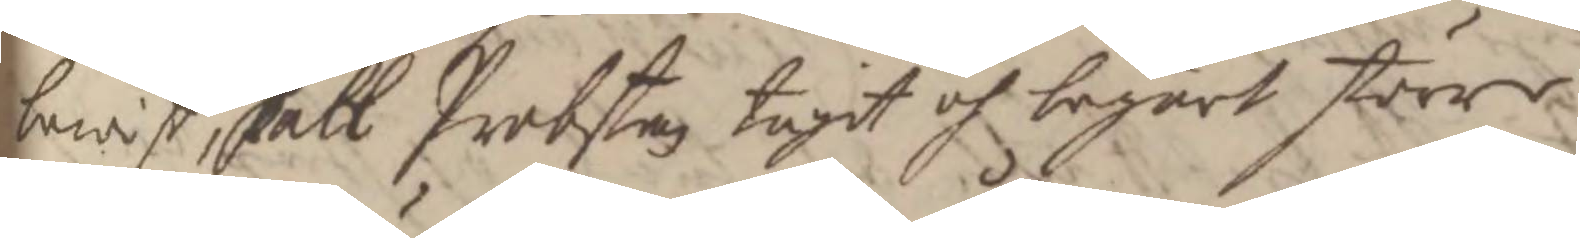bewist, skall Probsten tagit och begärt större
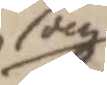som
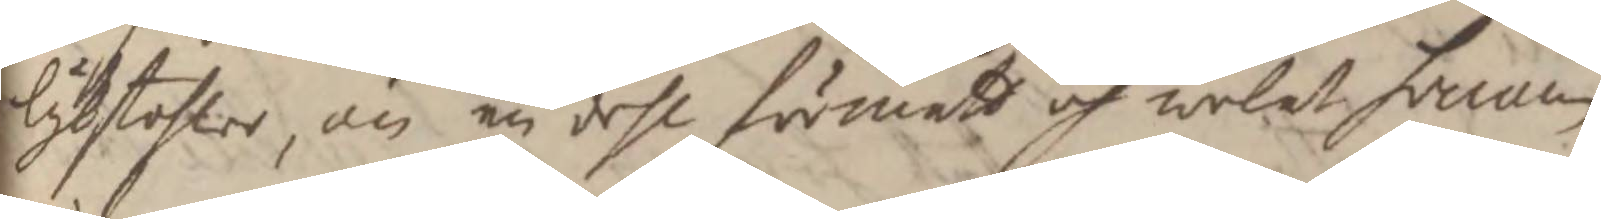lijkstohlar, än en dehl förmått och welat honom
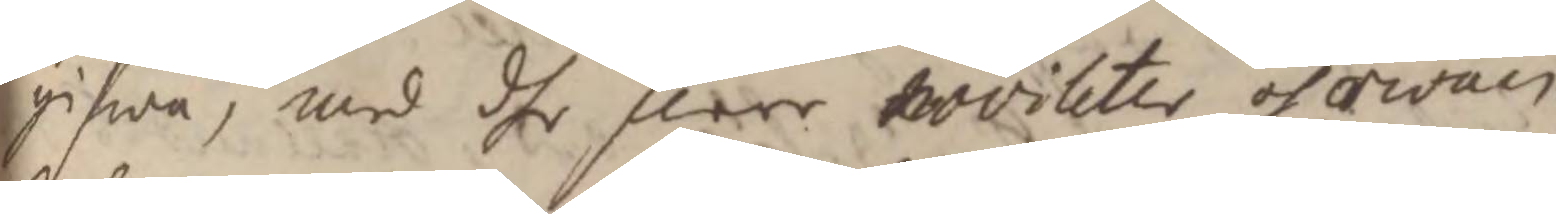gifwa, med dhe flere noviteter och owan¬
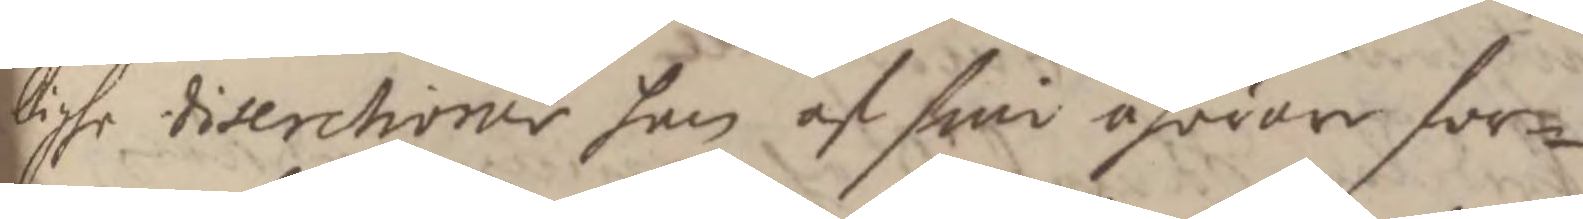lighe discretioner han af sine åhörare for¬
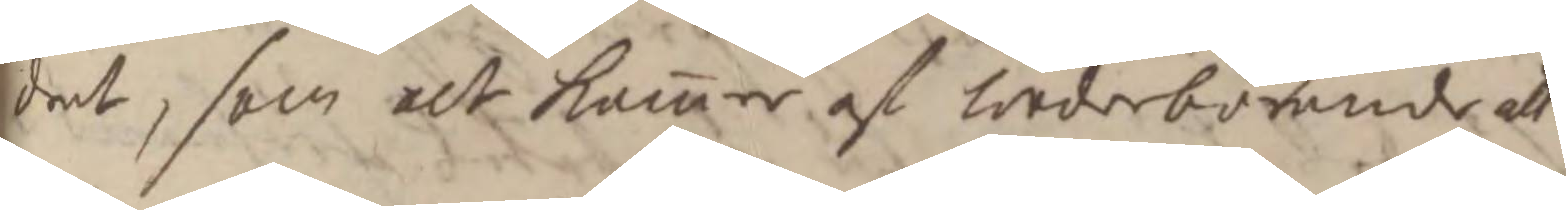drat, som alt kommer af Wederbörande att
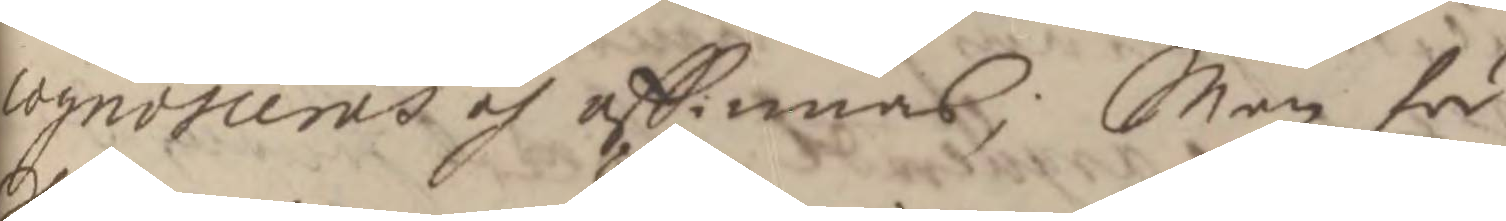cognosceras och afsinnas; Men för
